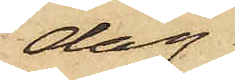dag
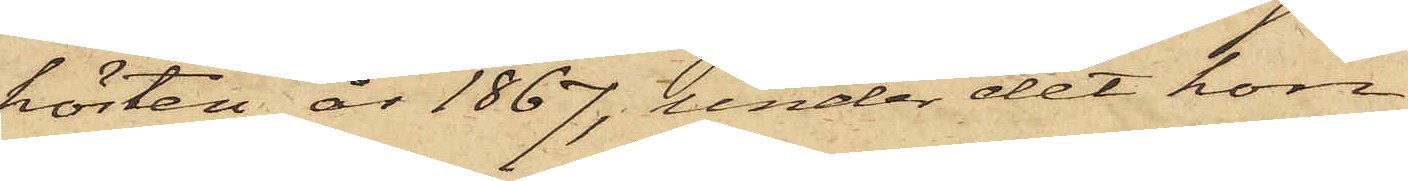hösten år 1867, under det hon
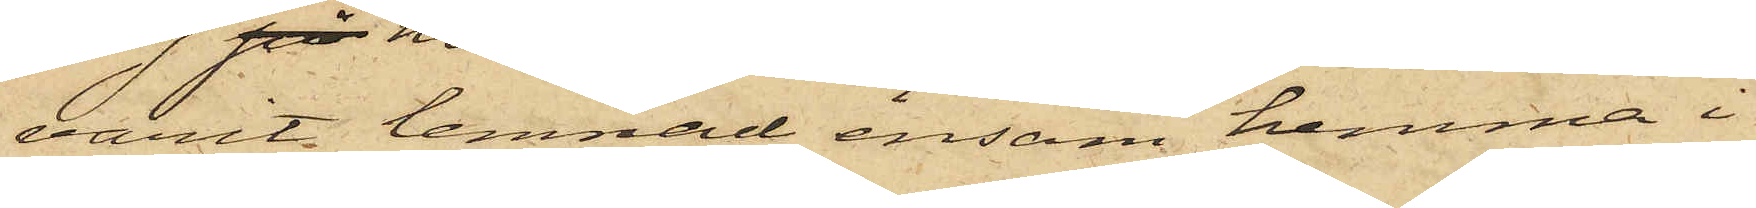varat lemnad ensam hemma i
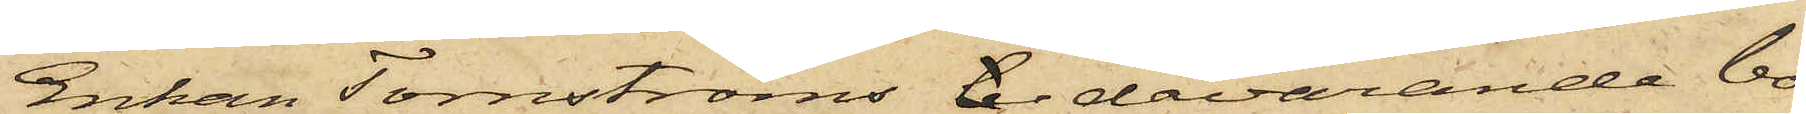Enkan Tornströms b. dåvarande bo¬
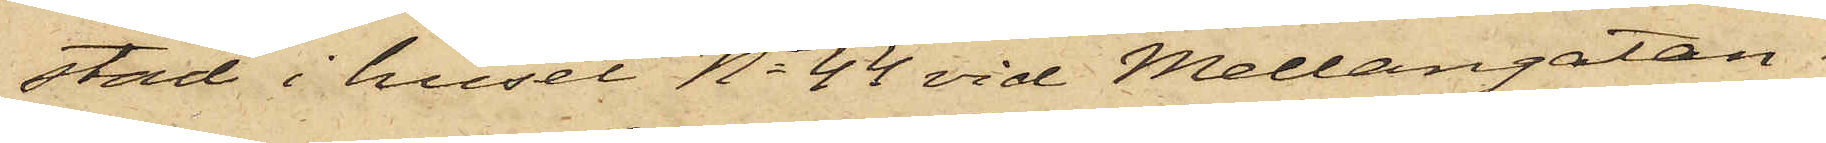stad i huset No 44 vid Mellangatan i
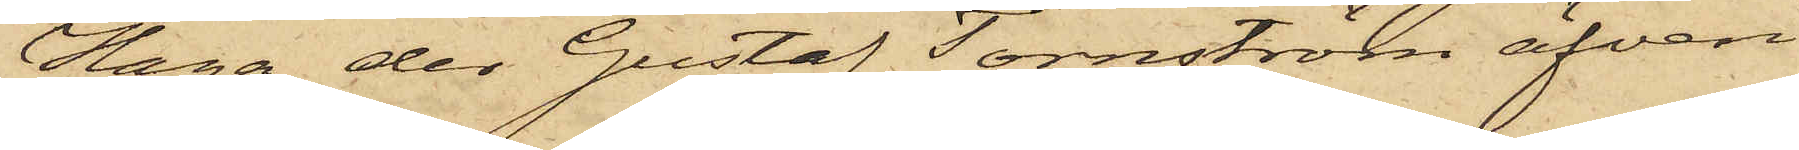Haga, der Gustaf Tornström äfven
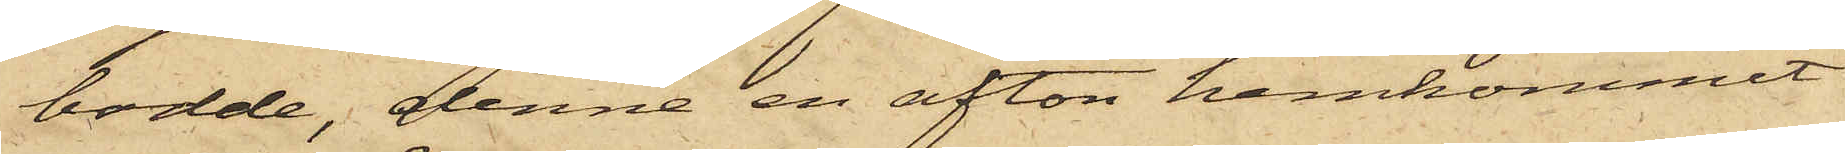bodde, denne en afton hemkommit
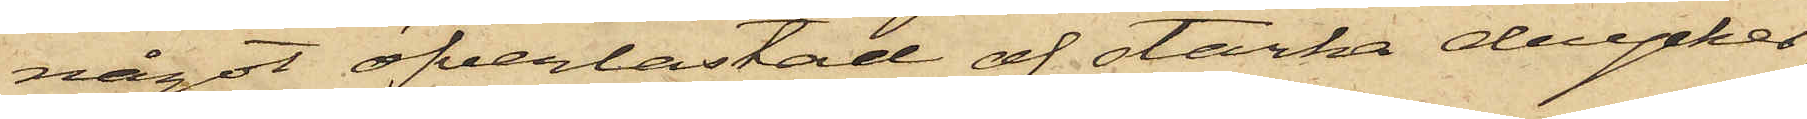något öfverlastad af starka drycker,
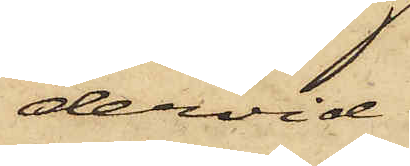dervid
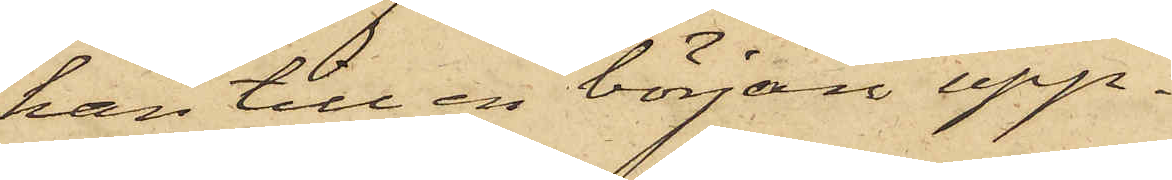han till en början upp¬
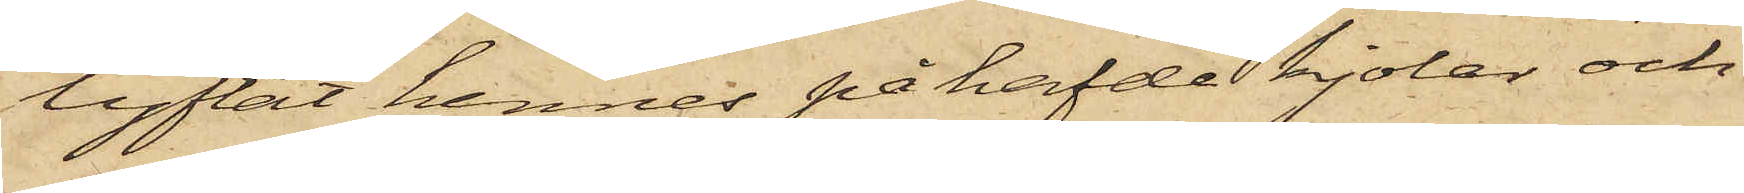lyftat hennes påhafde kjolar och
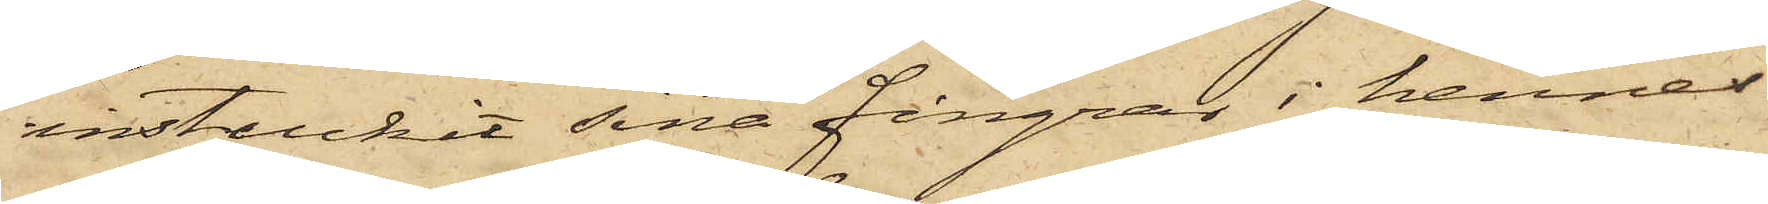instuckit sina fingrar i hennes
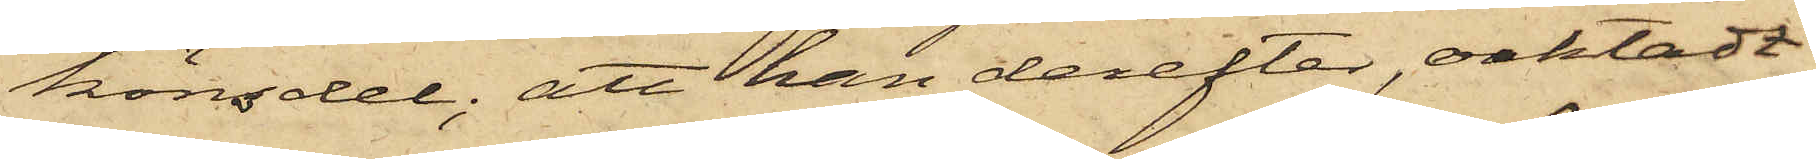könsdel; att han derefter oaktadt
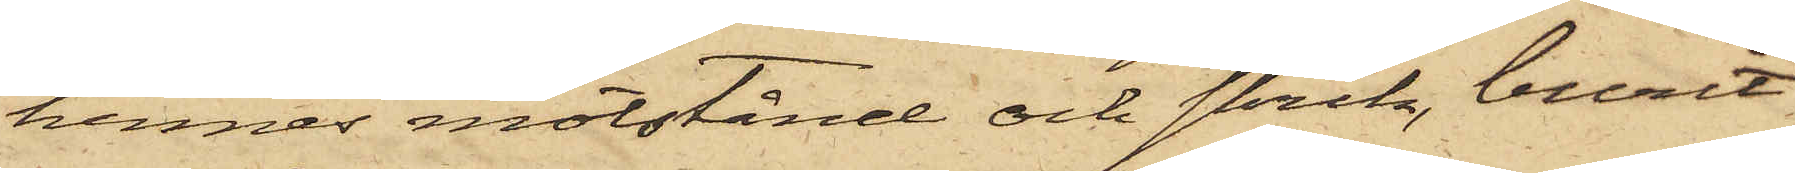hennes motstånd och skrik, burit
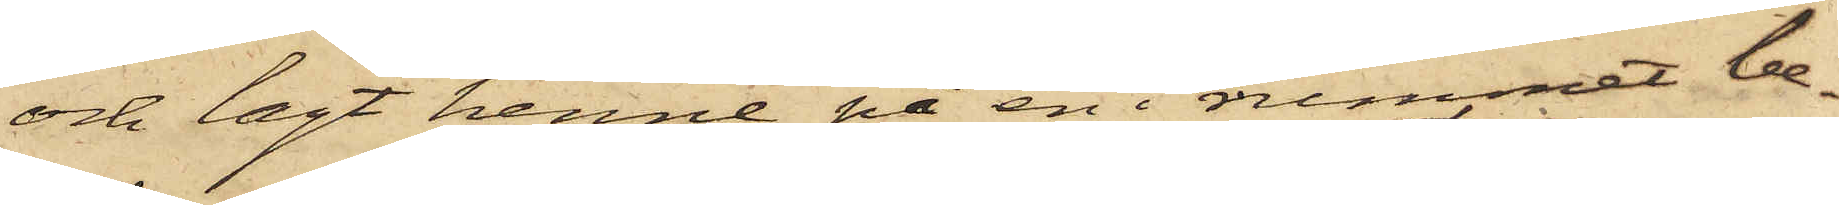och lagt henne på en i rummet be¬
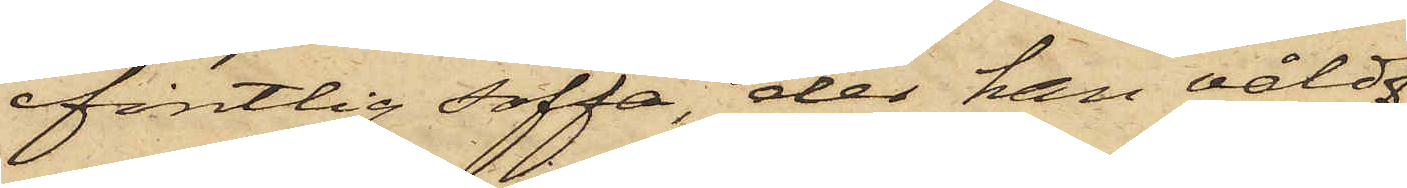fintlig soffa, der han våld¬
